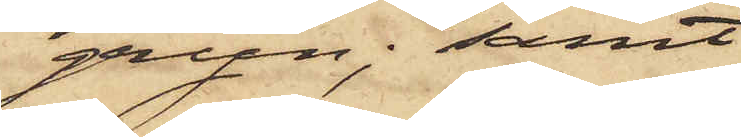gryn; samt
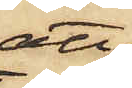att
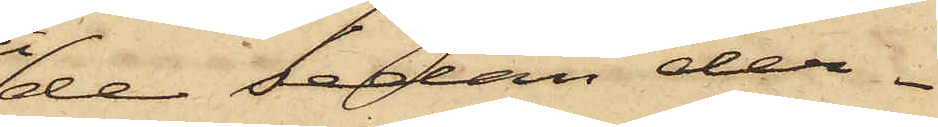de sedan der¬
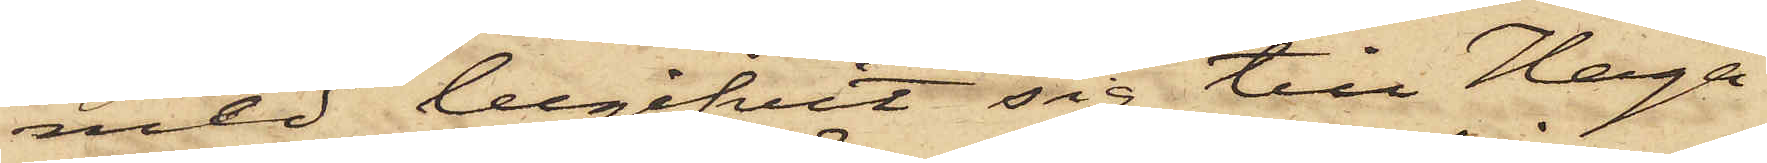med begifvit sig till Haga
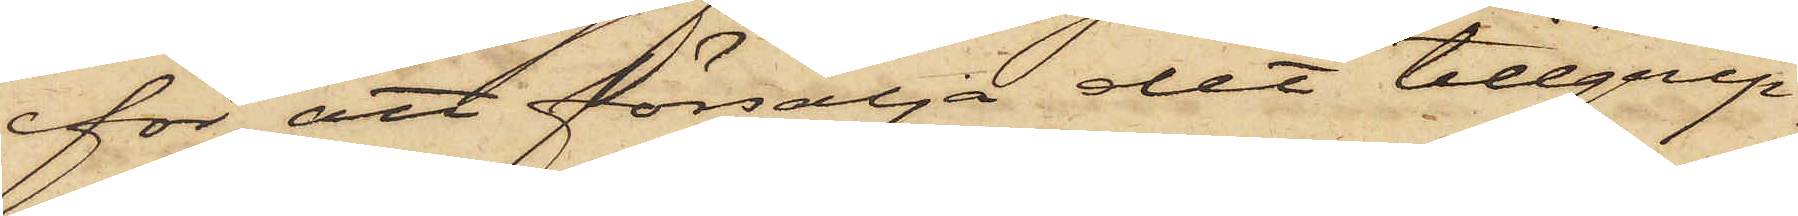för att försälja det tillgrip¬
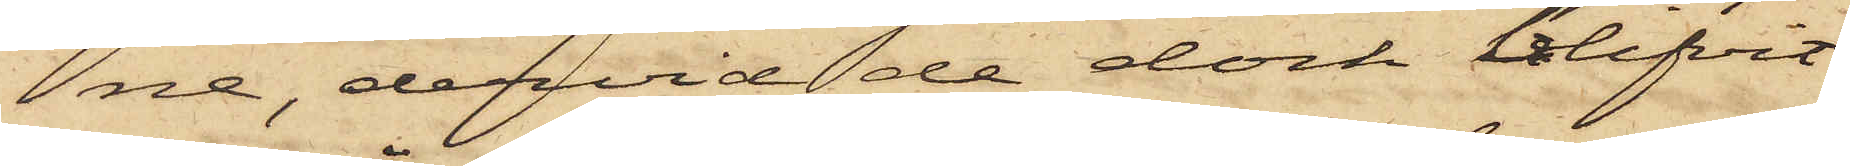na, dervid de dock blifvit
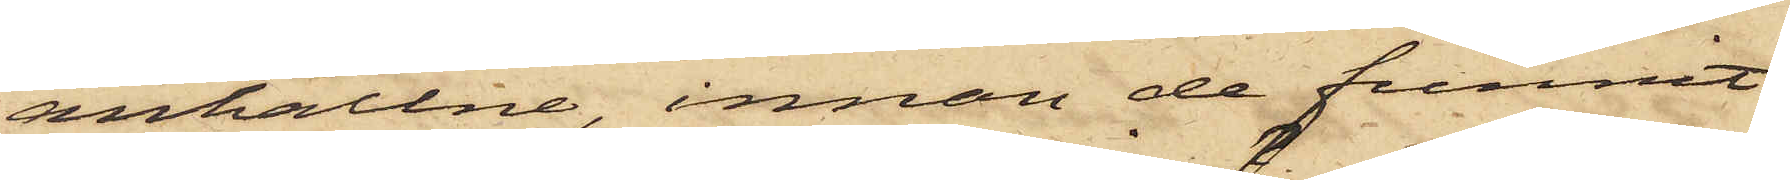anhållne, innan de funnit
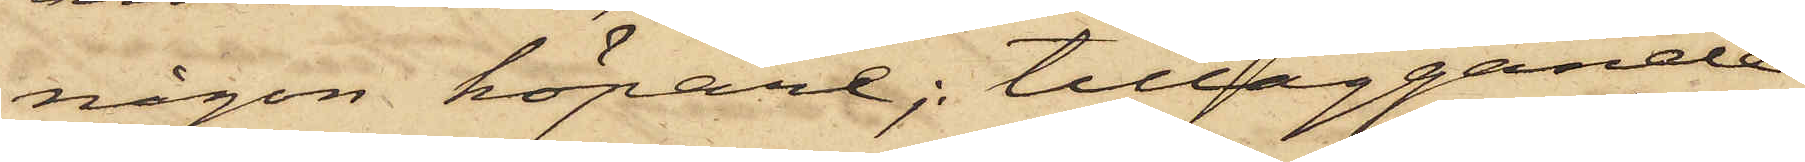någon köpare; tilläggande
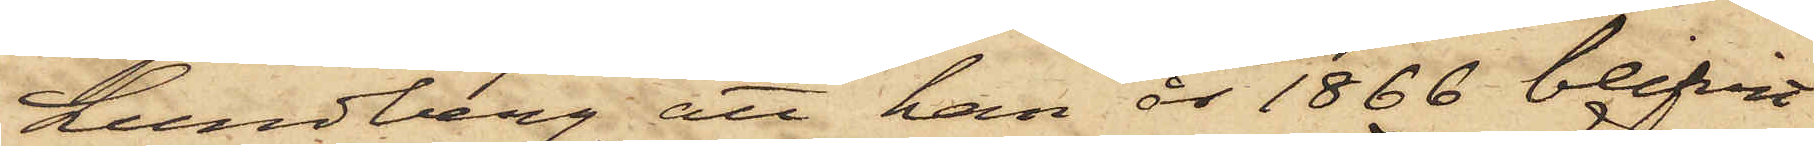Lundberg att han år 1866 blifvit
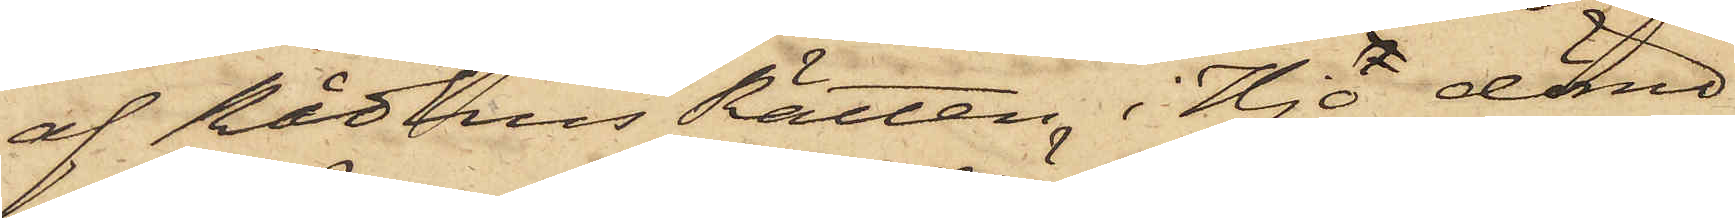af Rådhus Rätten i Hjo dömd
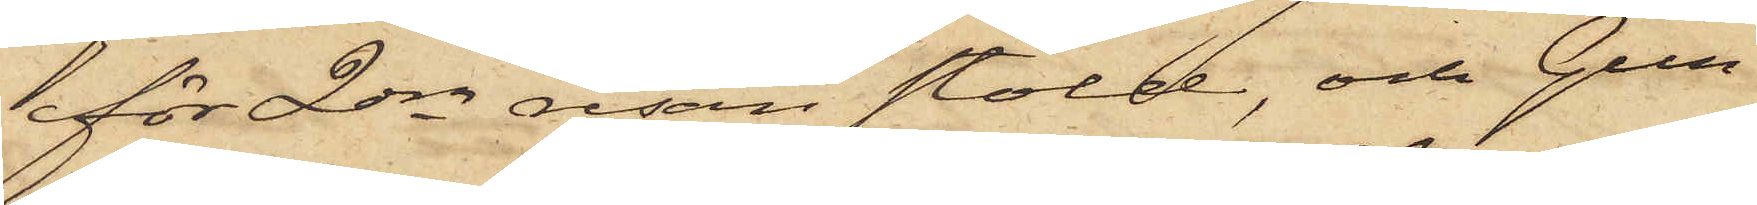för 2dra resan stöld, och Gun¬
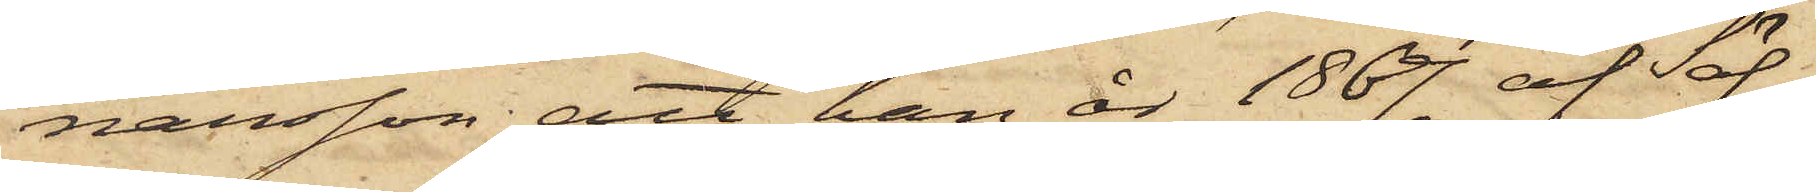narsson; att han år 1867 af Säf¬
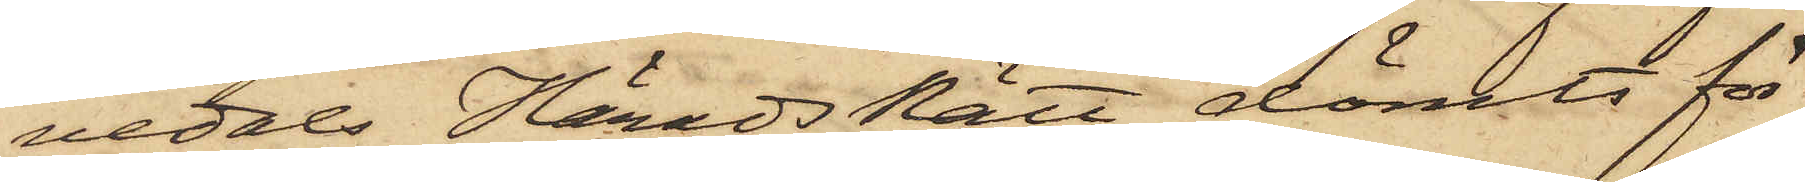vedals HäradsRätt dömts för
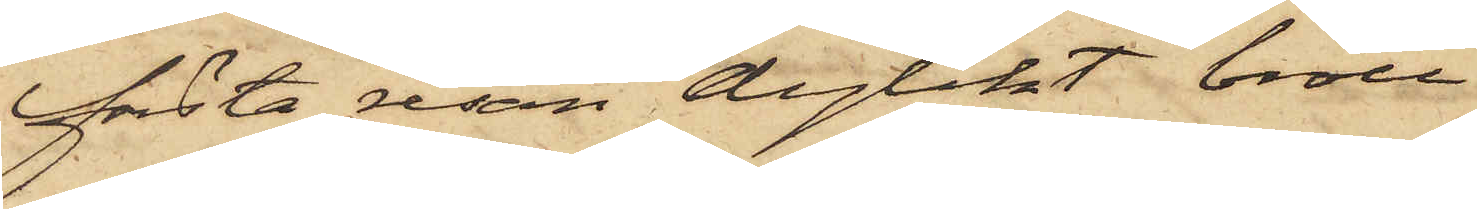första resan dylikt brott.
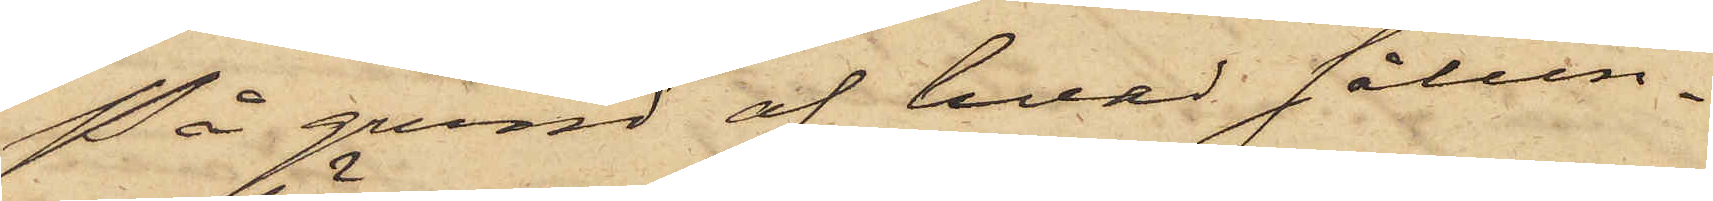På grund af hvad sålun¬
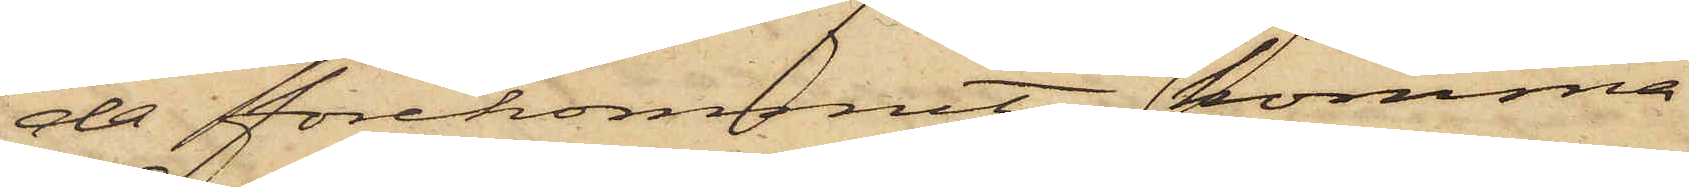da förekommit, kommer
